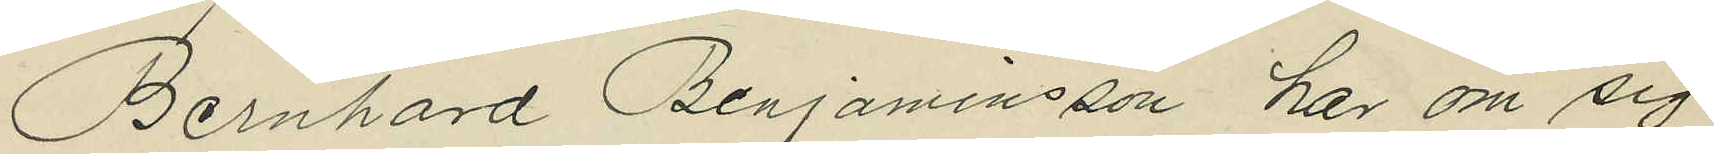Bernhard Benjaminsson har om sig
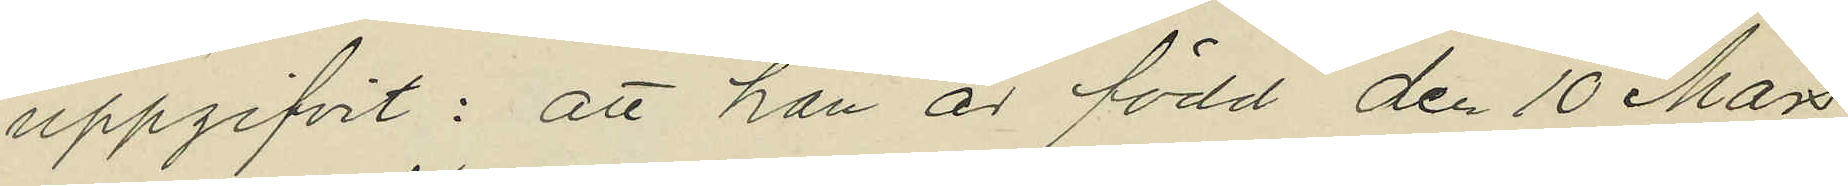uppgifvit: att han är född den 10 Mars
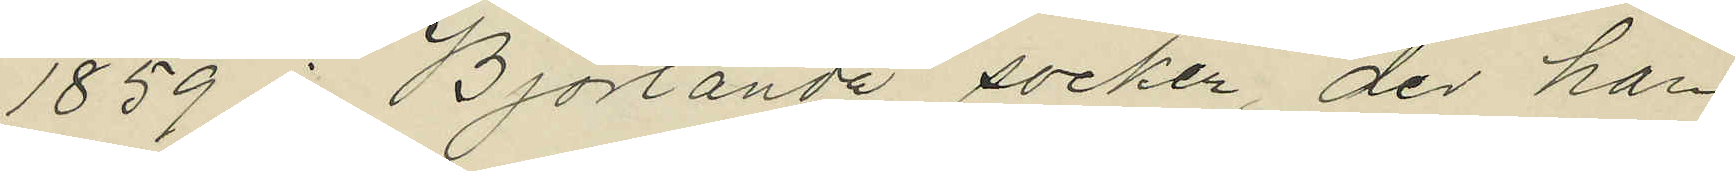1859 i Björlanda socken, der han
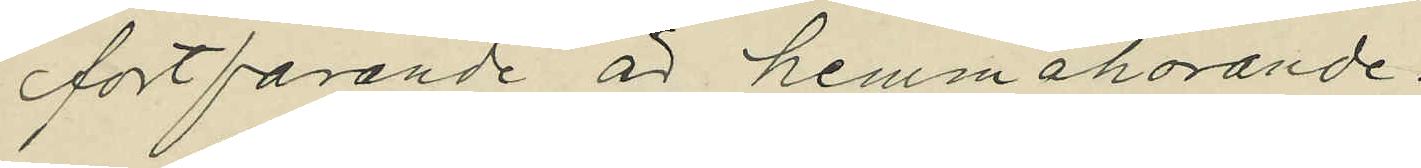fortfarande är hemmahörande.
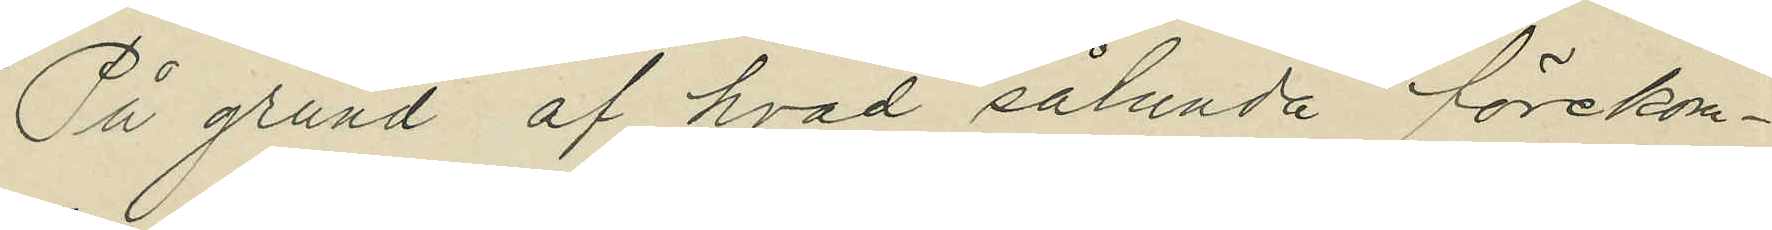På grund af hvad sålunda förekom¬
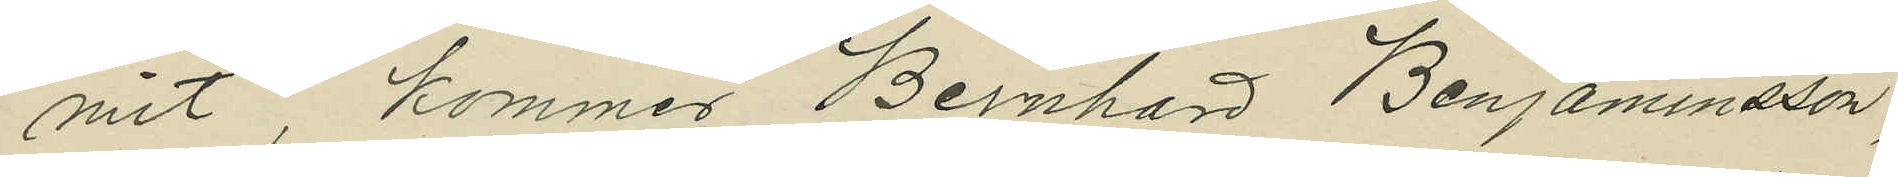mit, kommer Bernhard Benjaminsson,
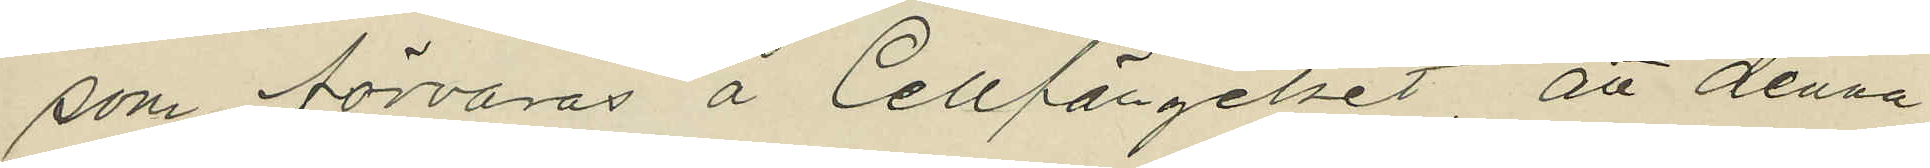som förvaras å Cellfängelset att denna
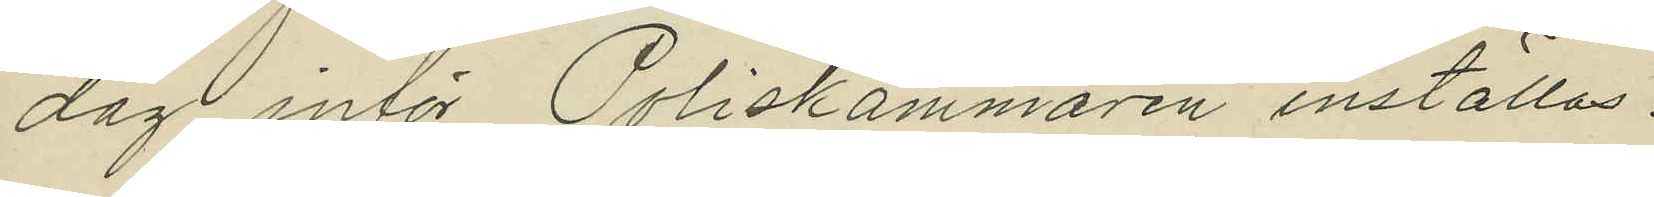dag inför Poliskammaren inställas.
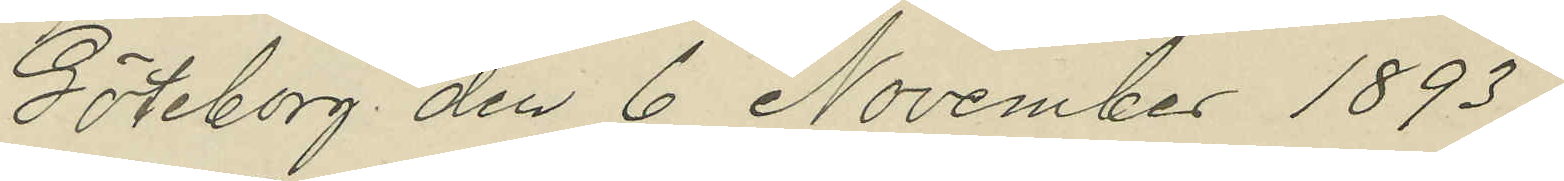Göteborg den 6 November 1893.
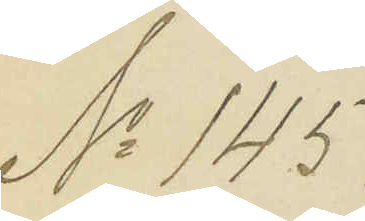No 145.
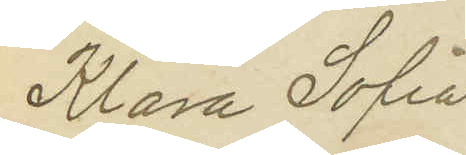Klara Sofia
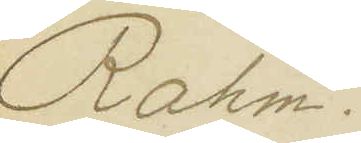Rahm.
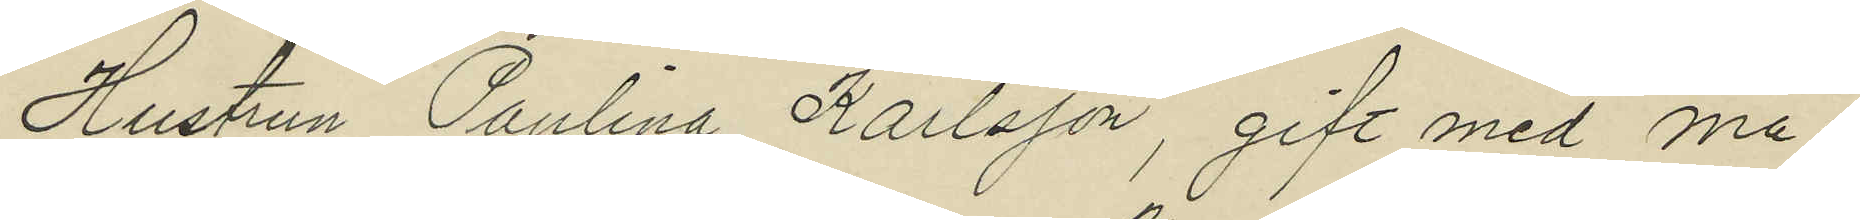Hustrun Paulina Karlsson, gift med ma¬
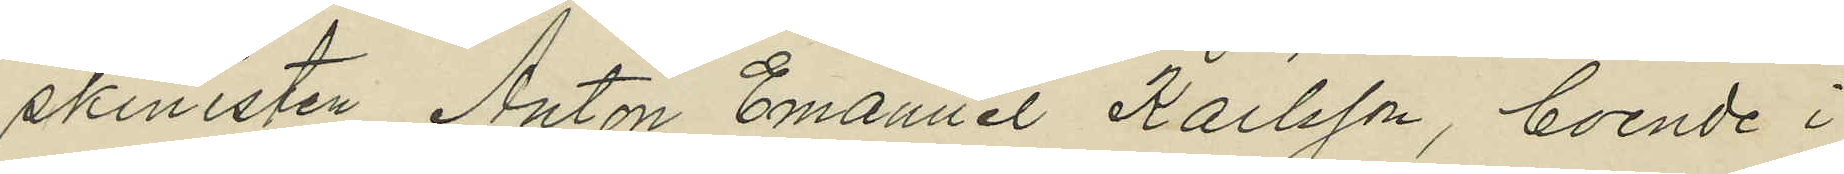skinisten Anton Emanuel Karlsson, boende i
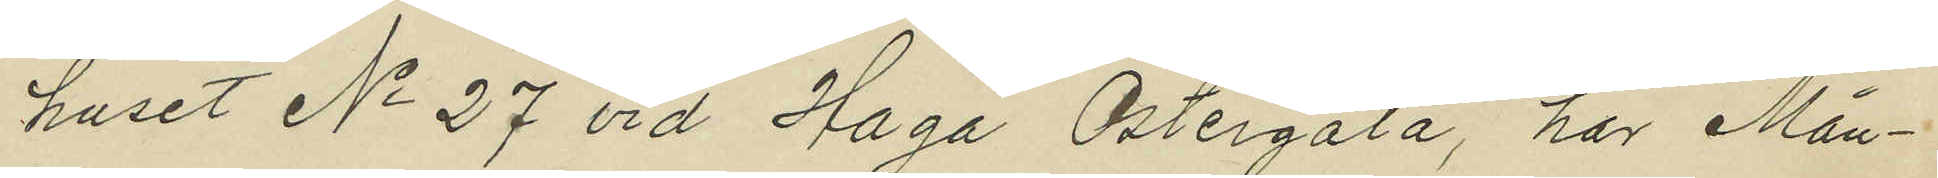huset No 27 vid Haga Östergata, har Mån¬
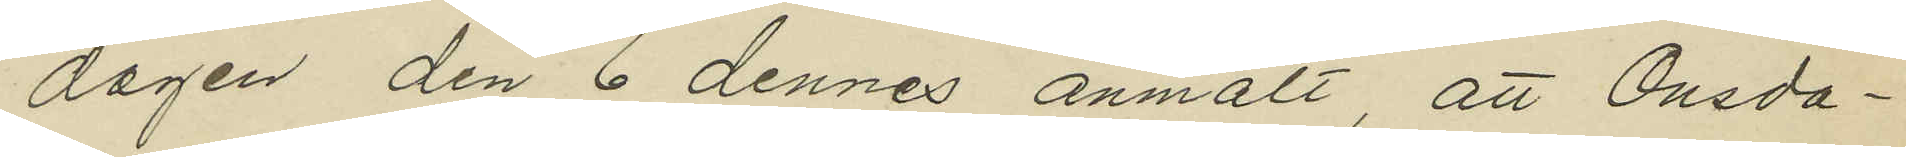dagen den 6 dennes anmält, att Onsda¬
